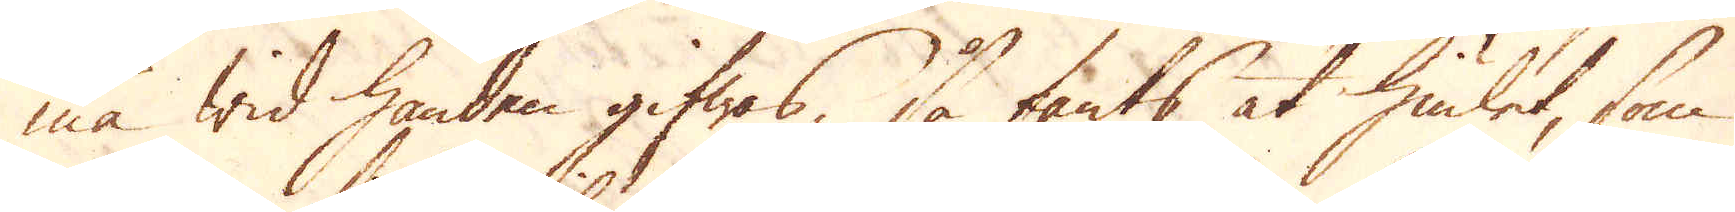må wid handen gifwas, så fants at hiulet, som
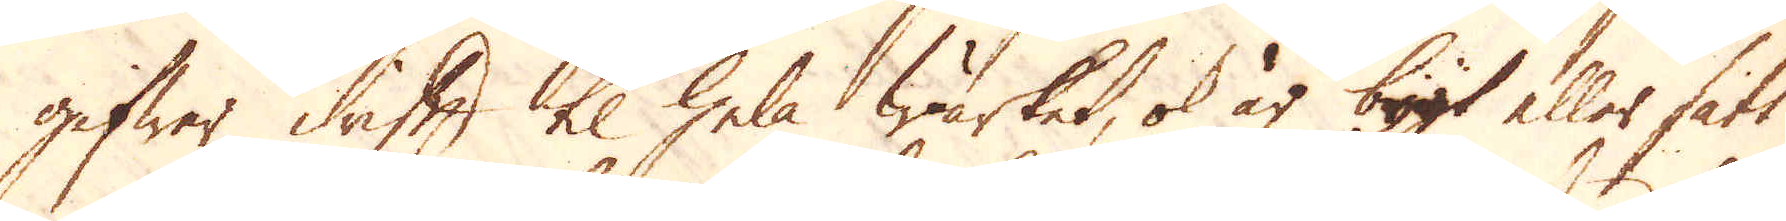gifwer drift til hela Wärket, ok är bygt eller satt
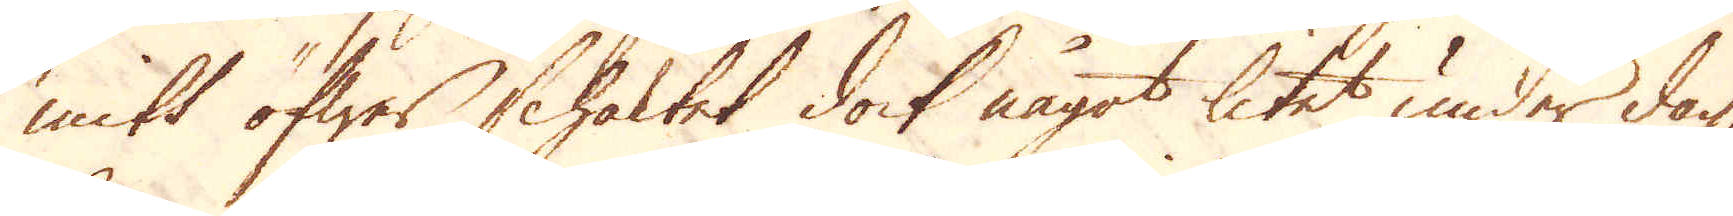mitt öfwer schaktet dock något litet under dag,
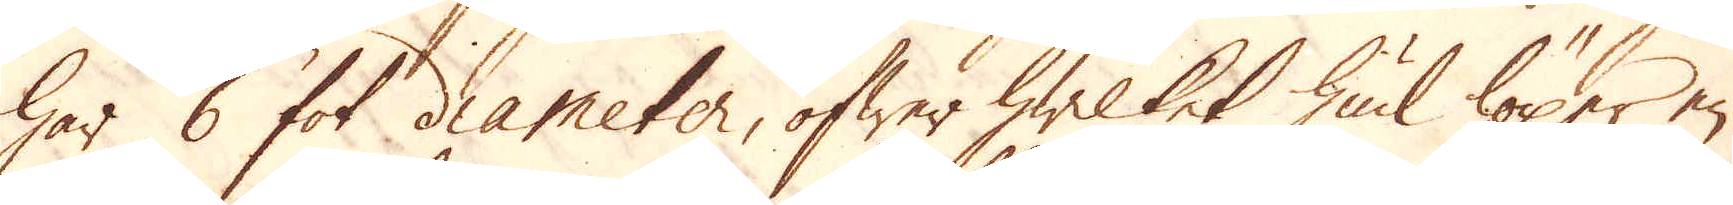har 6 fot diameter, öfwer hwilket hiul löper en
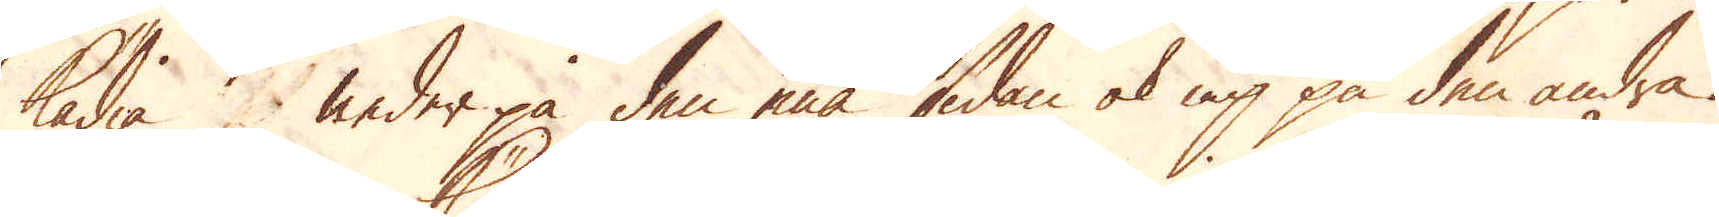kädia neder på den ena sidan ok up på den andra.
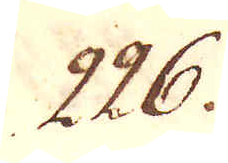226.
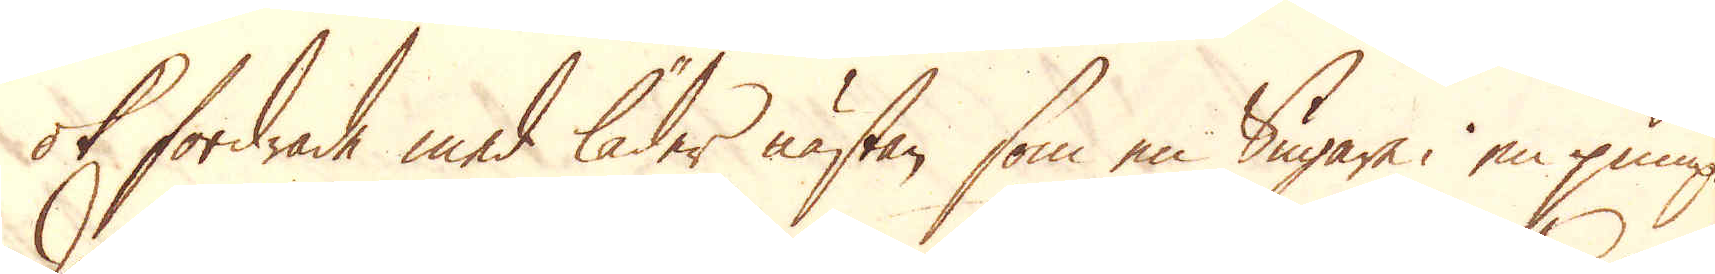ok fordrade med läder nästan, som en Sugare i en pump.
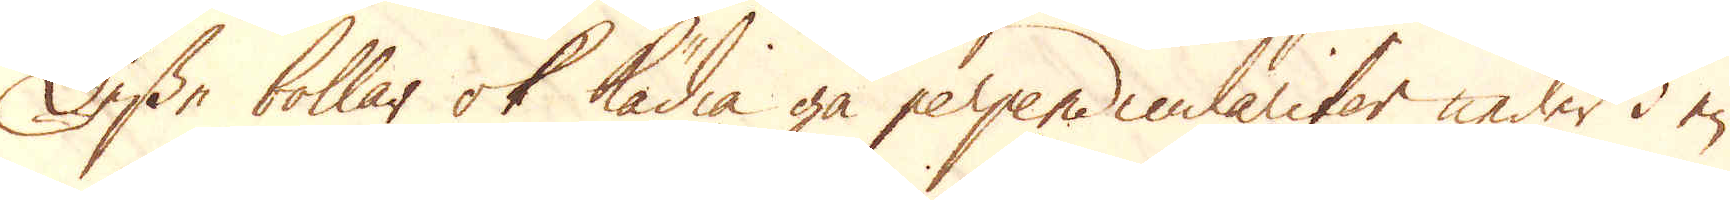Desse bollar ok kädia gå perpendiculariter neder i en
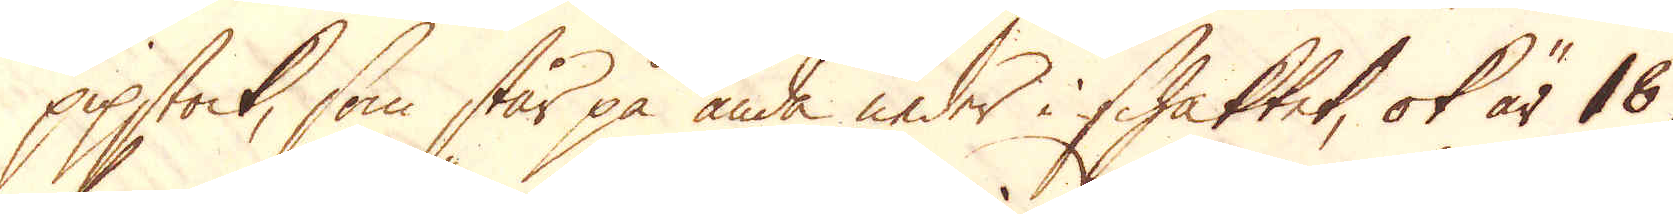pipstock, som står på ända under i schaktet, ok är 18
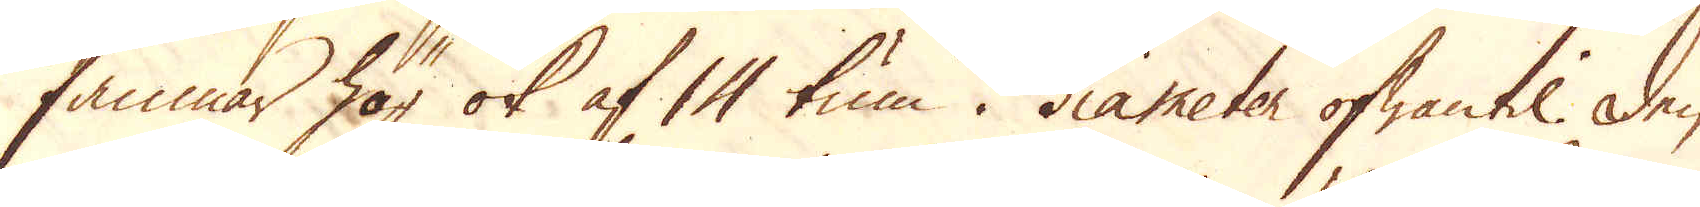famnar hög ok af 14 tum i diameter ofwantil. Den
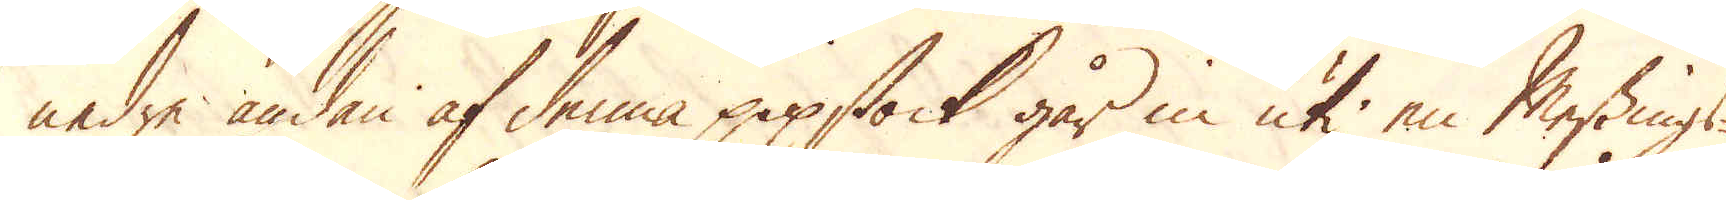nedre ändan af denna pipstock går in uti en Messings-
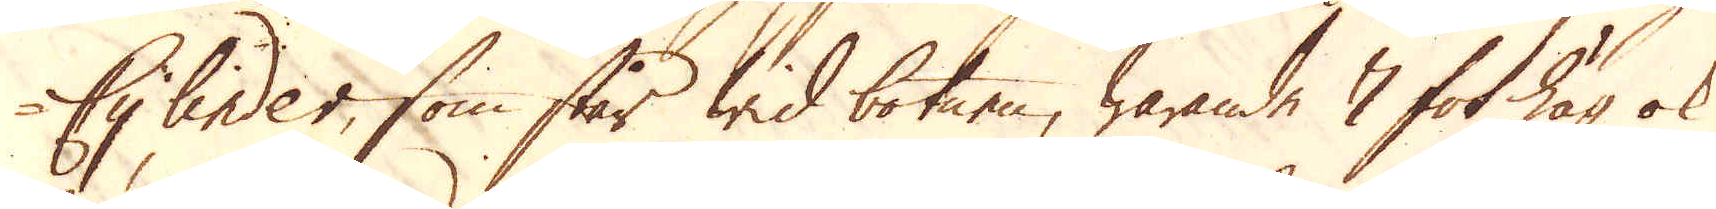Cylinder, som står wid botnen, warande 7 fot hög ok
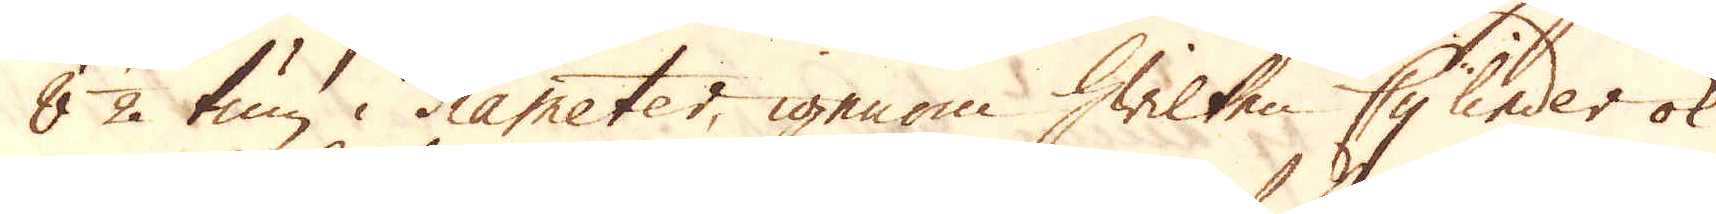8 1/2 tum i diameter, igenom hwilken Cylinder ok
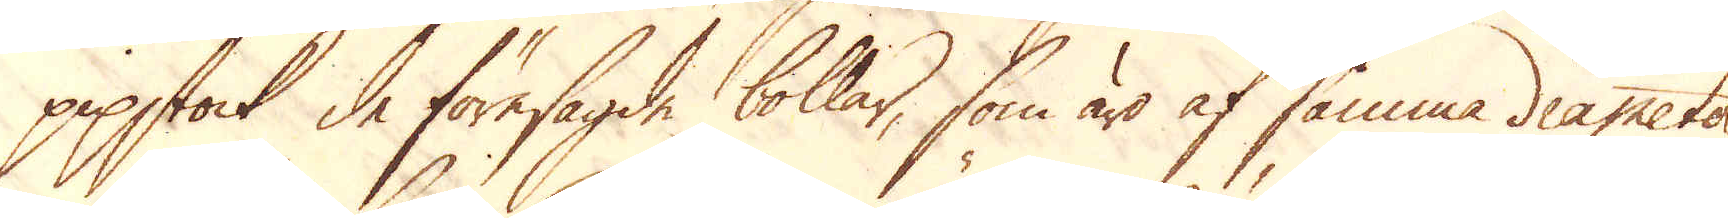pipstock de föresagde bollar, som äro af samma diameter,
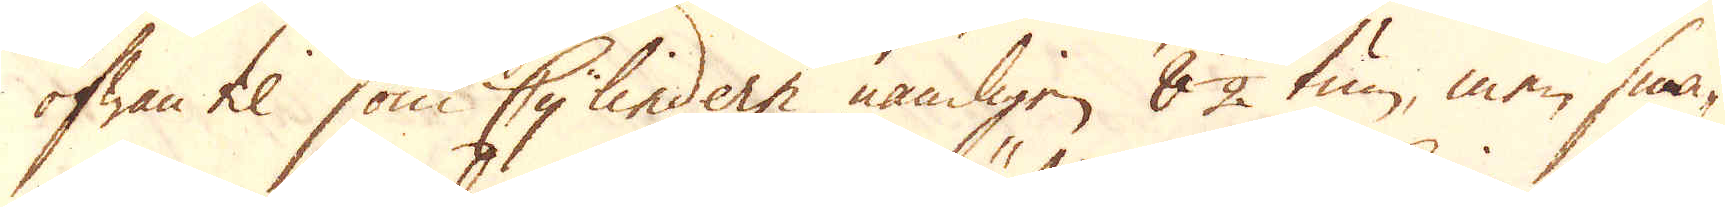ofwan til som Cylindern nämligen 8 1/2 tum, men sma-
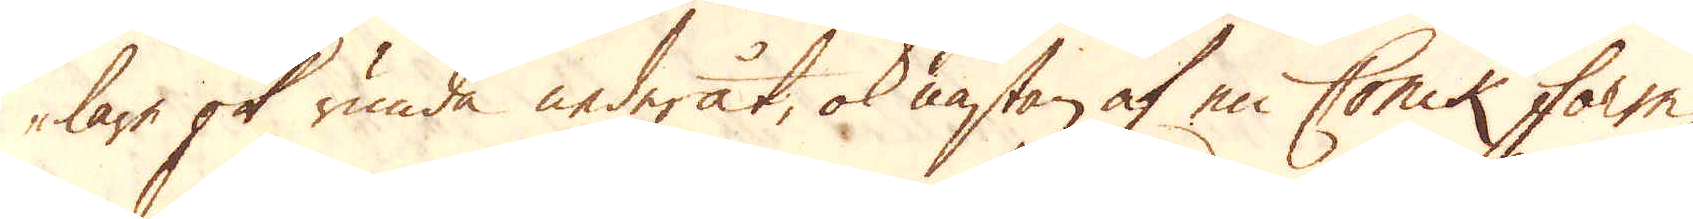lare ok runda nederåt, ok nästan af en Conik form
